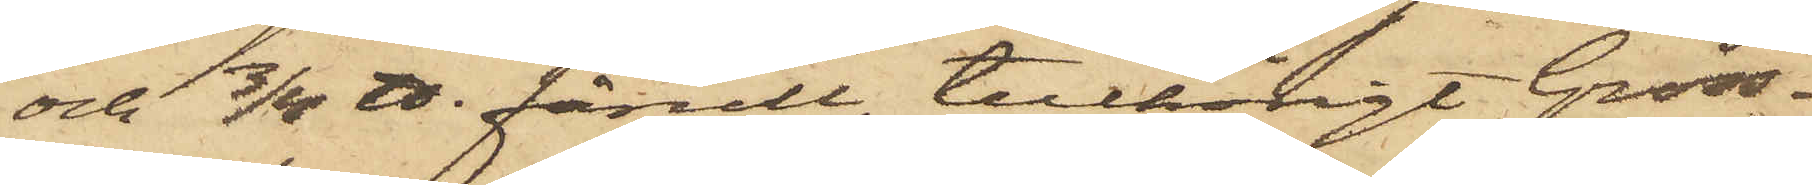och 3/4 ℔ fårull, tillhörigt Gross¬
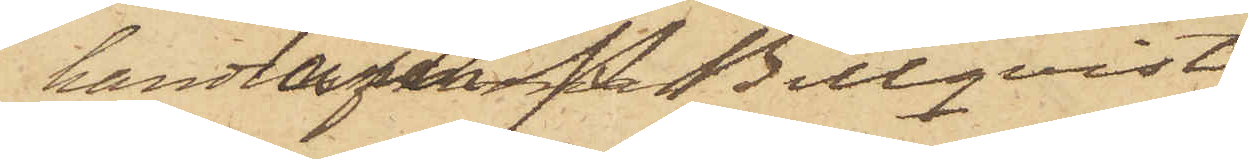handlaren P. Billqvist
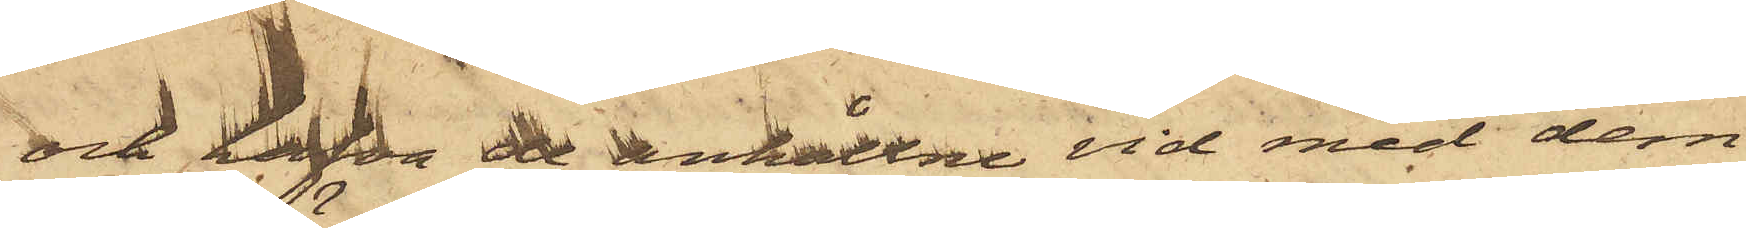och hafva de anhållne vid med dem
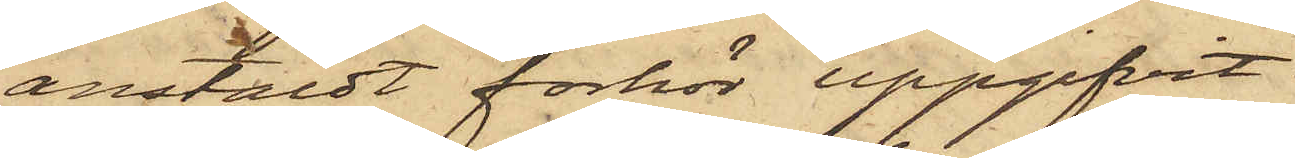anstäldt förhör uppgifvit:
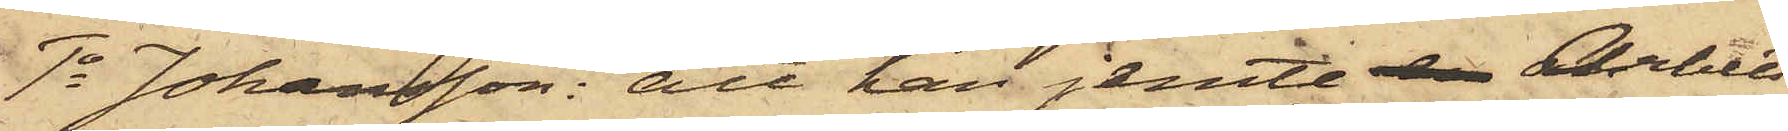1o Johansson: att han jemte Arbets¬
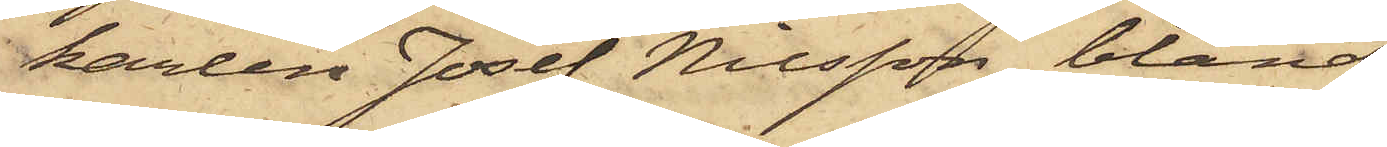karlen Josef Nilsson, bland
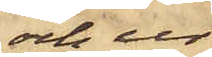och ur
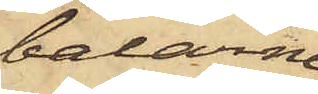balarne
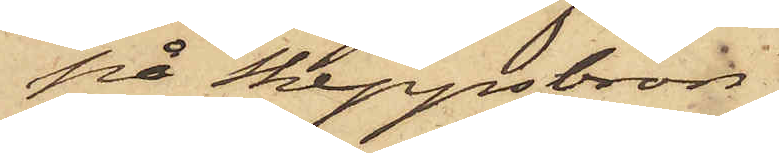på Skeppsbron
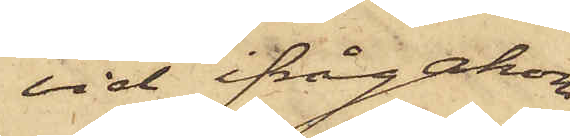vid ifrågakom¬
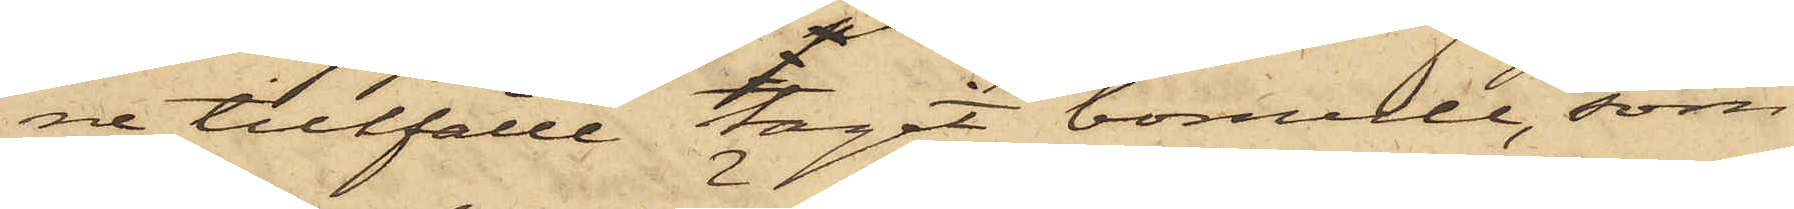ne tillfälle tagit bomull, som
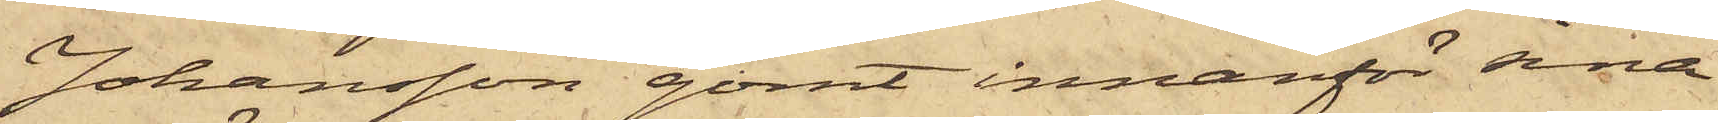Johansson gömt innanför sina
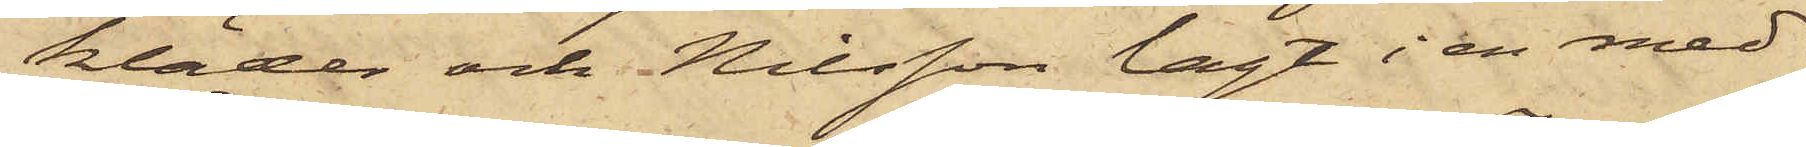kläder och Nilsson lagt i en med¬
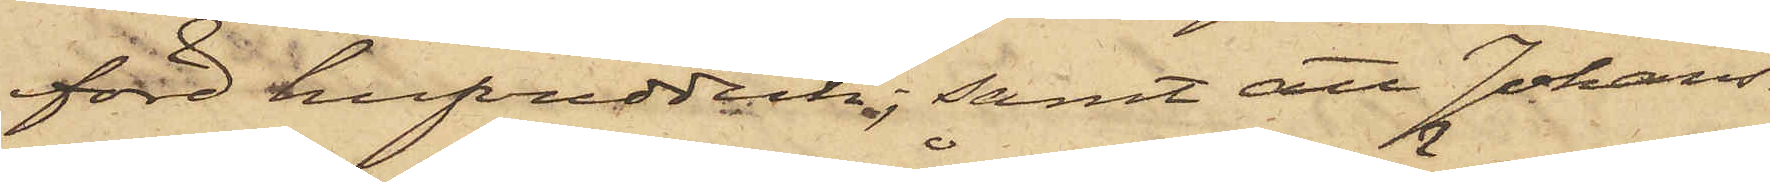förd hufvudduk, samt att Johans¬
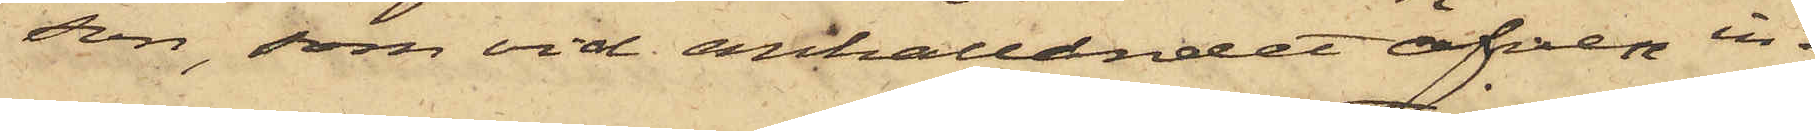son, som vid anhållandet äfven in¬
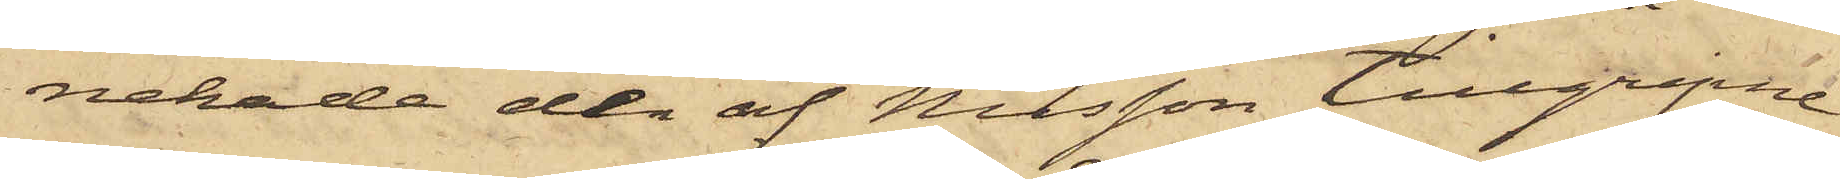nehade den af Nilsson tillgripne
